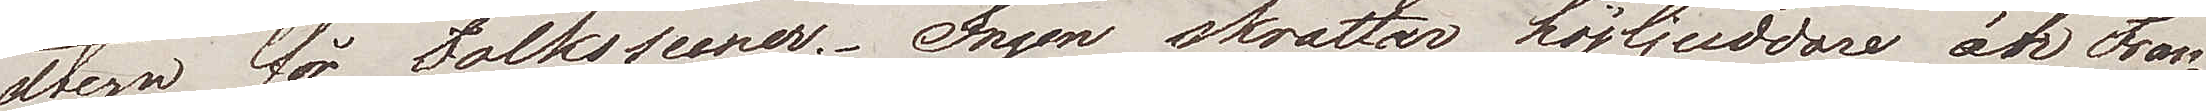atern för Folkscener. - Ingen skrattar högljuddare än Fran¬
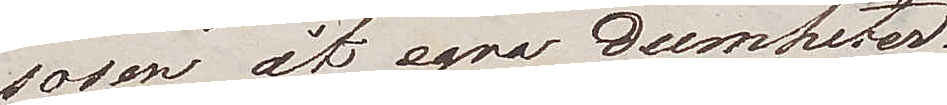sosen åt egna dumheter.
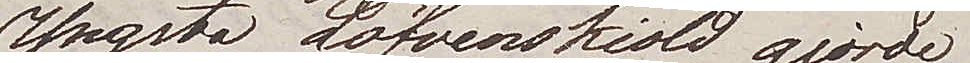Yngsta Löfvenskiold gjorde
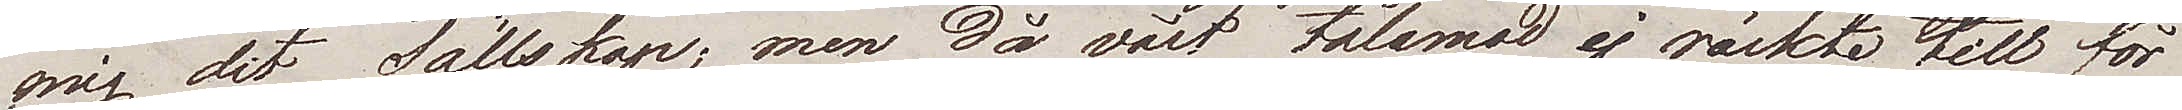mig dit sällskap; men då vårt tålamod ej räckte till för
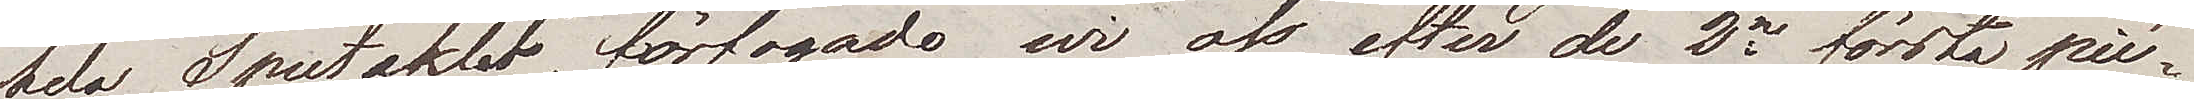hela Spectaklet, förfogade wi oss efter de 2ne första piè¬
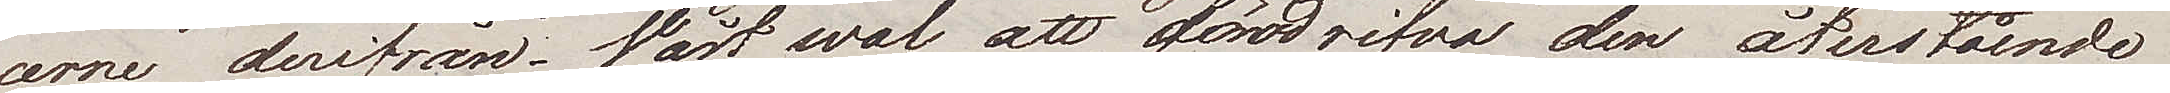cerne derifrån. Vårt wal att fördrifva den återstående
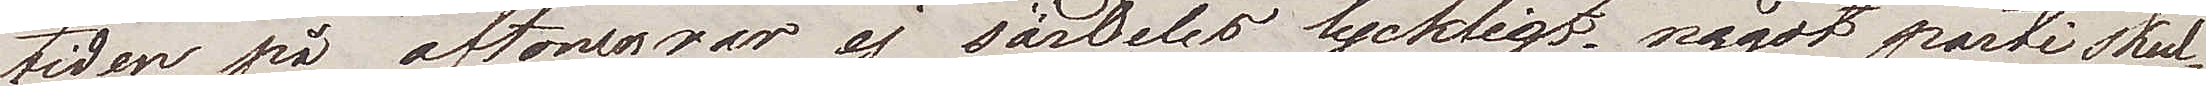tiden på aftonen var ej särdeles lyckligt, något parti skul¬
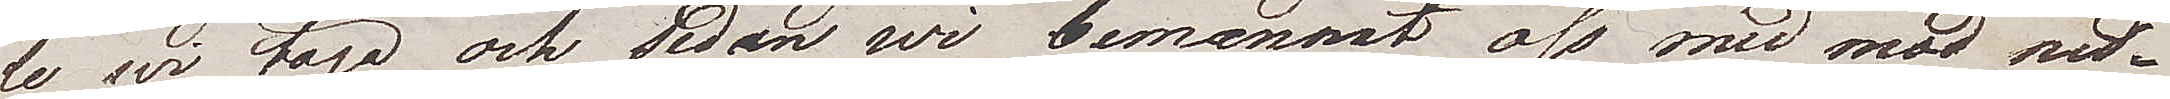le wi taga och sedan wi bemannat oss med mod ned¬
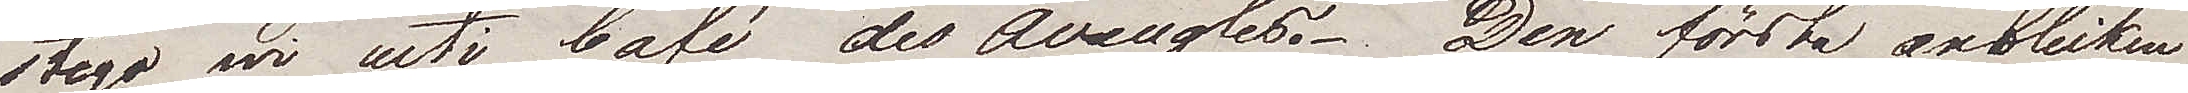stego wi uti Café des Aveugles. Den första anblicken
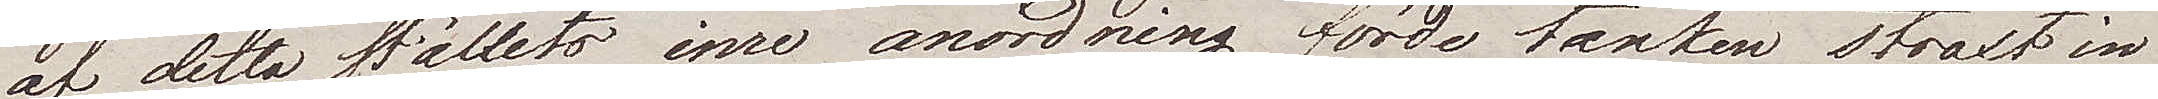af detta ställets inre anordning förde tanken straxt in
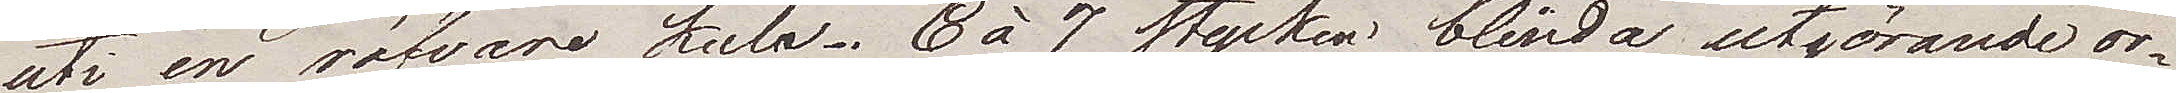uti en rövare kula. 6 à 7 stycken blinda, utgörande or¬
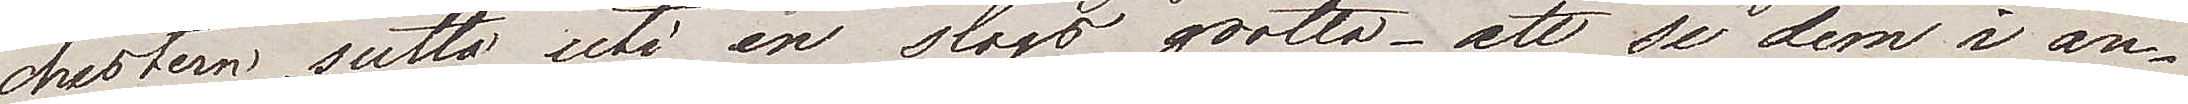chestern, sutto uti en slags grotta – att se dem i an¬
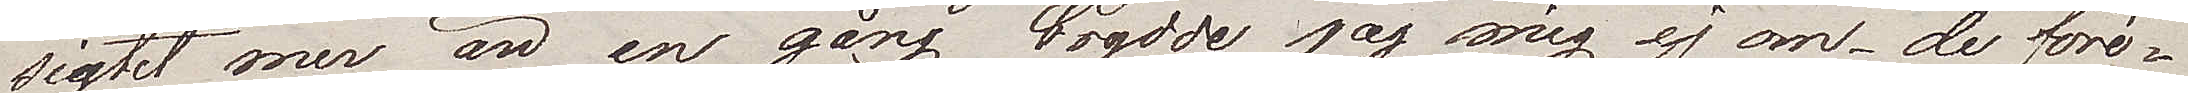sigtet mer än en gång brydde jag mig ej om – de före¬
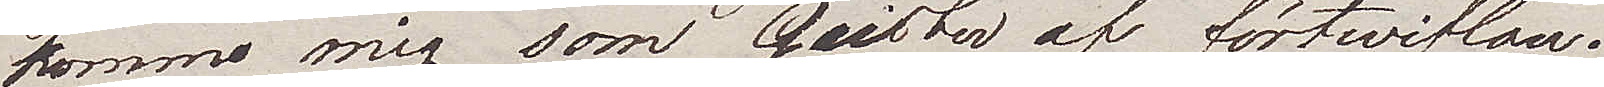kommo mig som Geister af förtwivlan.
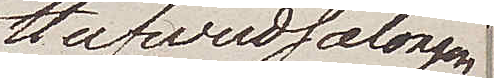Hufvudsalongen
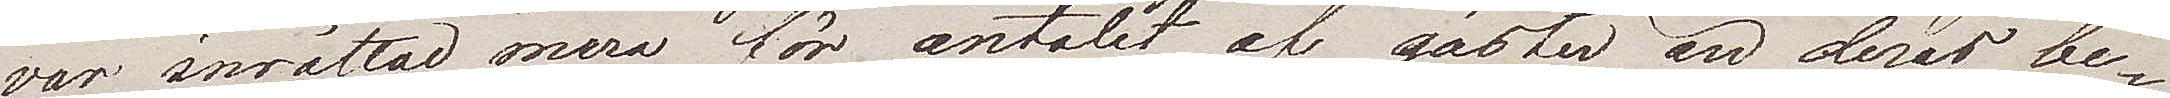var inrättad mera för antalet af gäster än deras be¬
